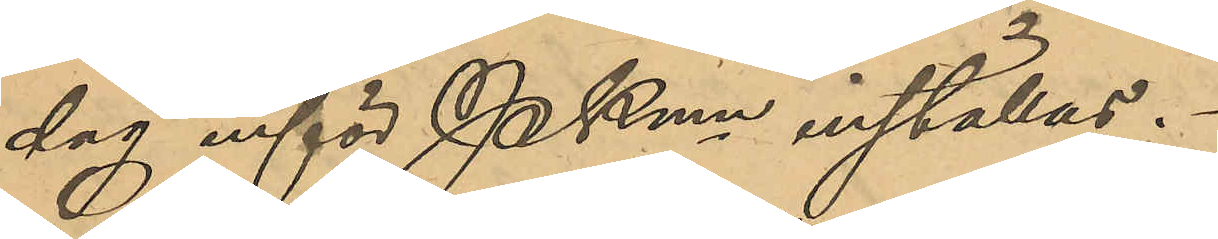dag inför PKmn inställas.
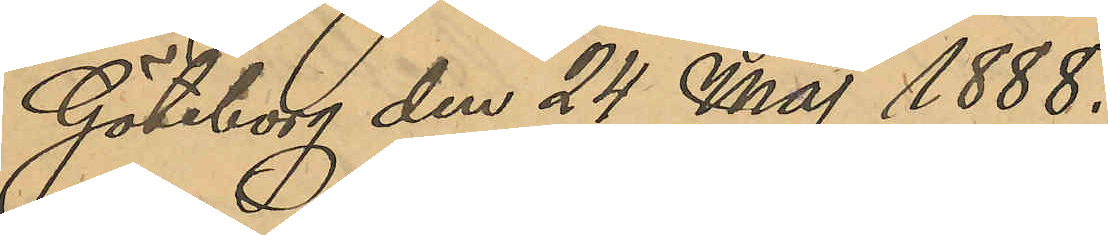Göteborg den 24 Maj 1888.
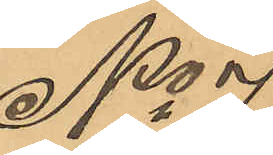No 71
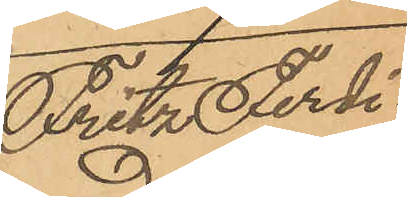Fritz Ferdi¬
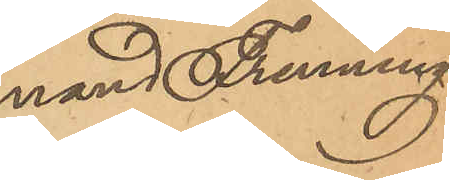nand  Frenning
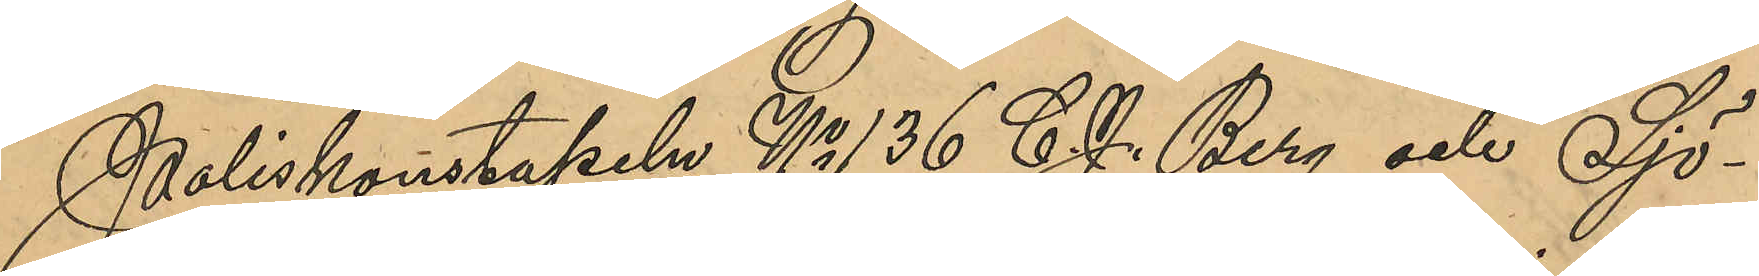Poliskonstapeln No 135 C. J. Berg och Sjö¬
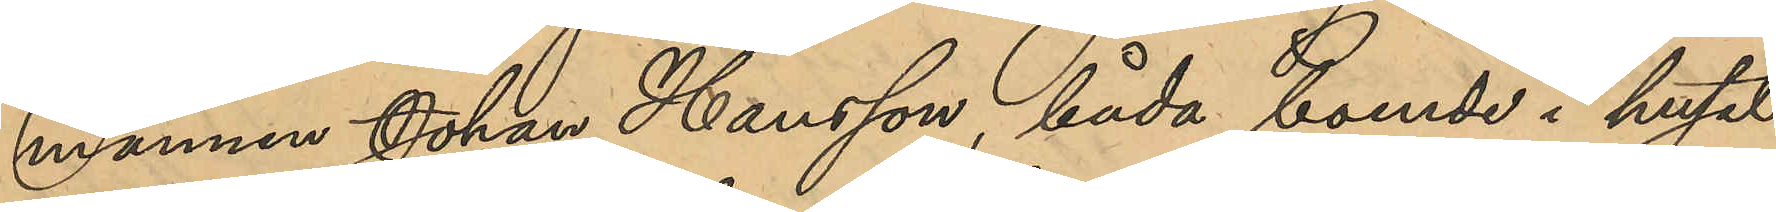mannen Johan Hansson, båda boende i huset
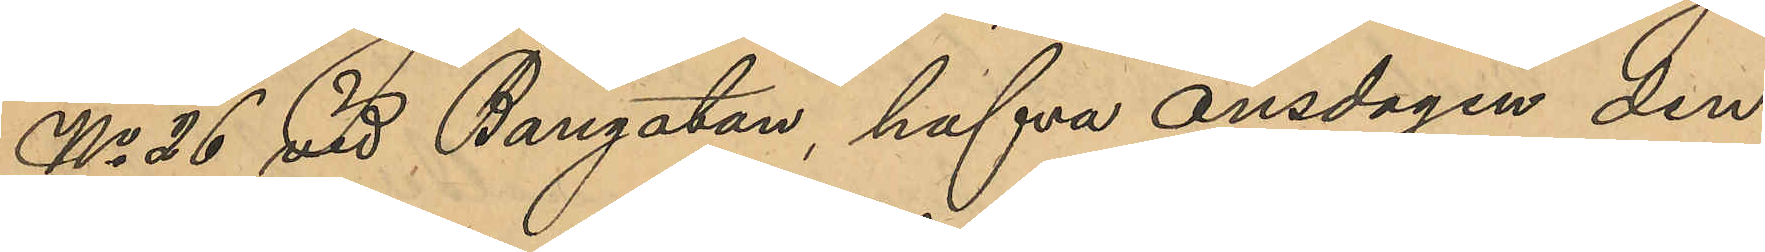No 26 vid Bangatan, hafva onsdagen den
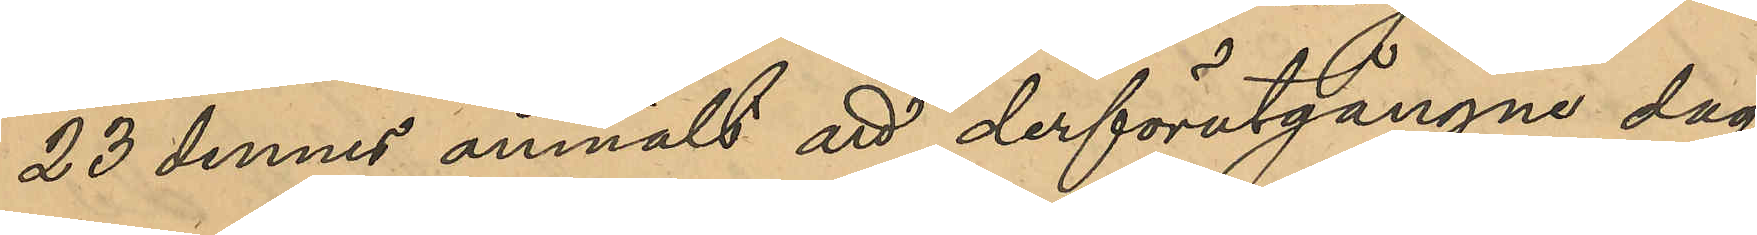23 dennes anmält att derförutgångne dag
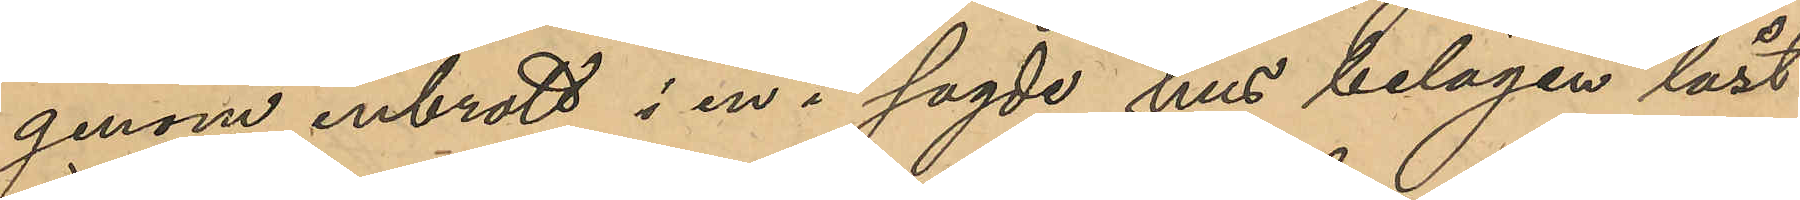genom inbrott i en i sagde hus belägen låst
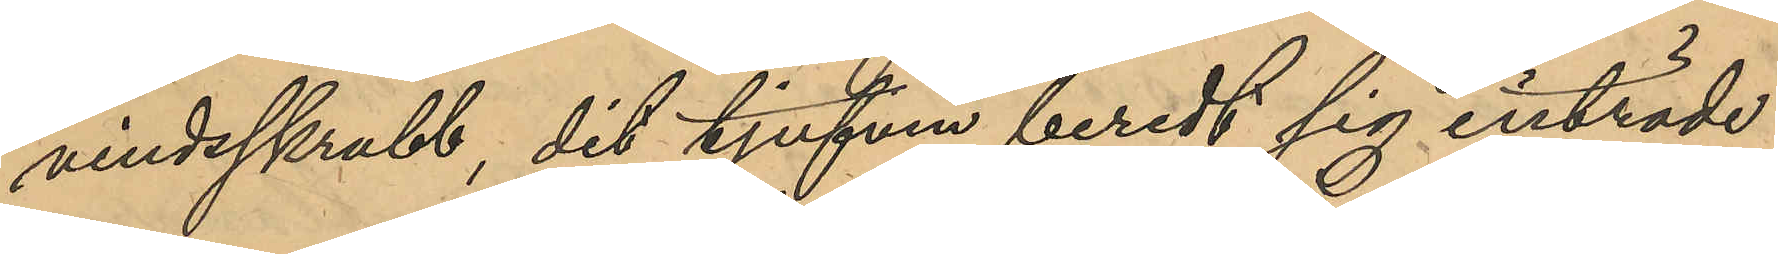vindsskrubb, dit tjufven beredt sig inträde
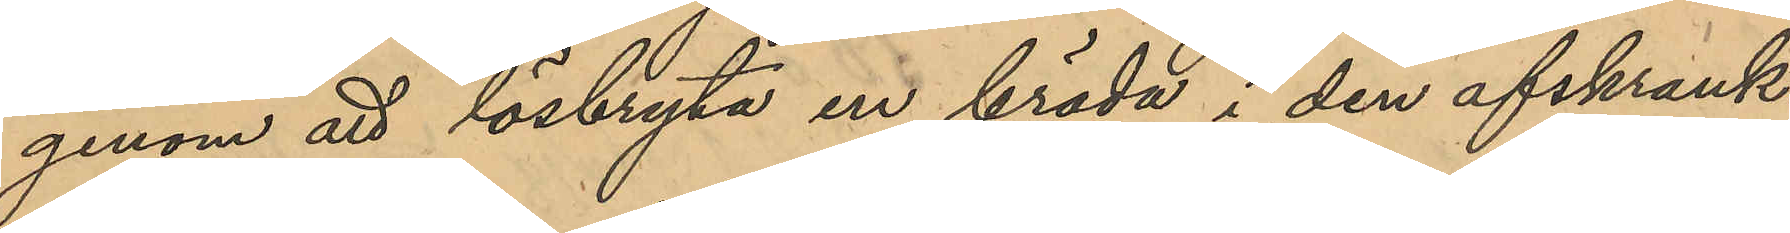genom att lösbryta en bräda i den afskrank¬
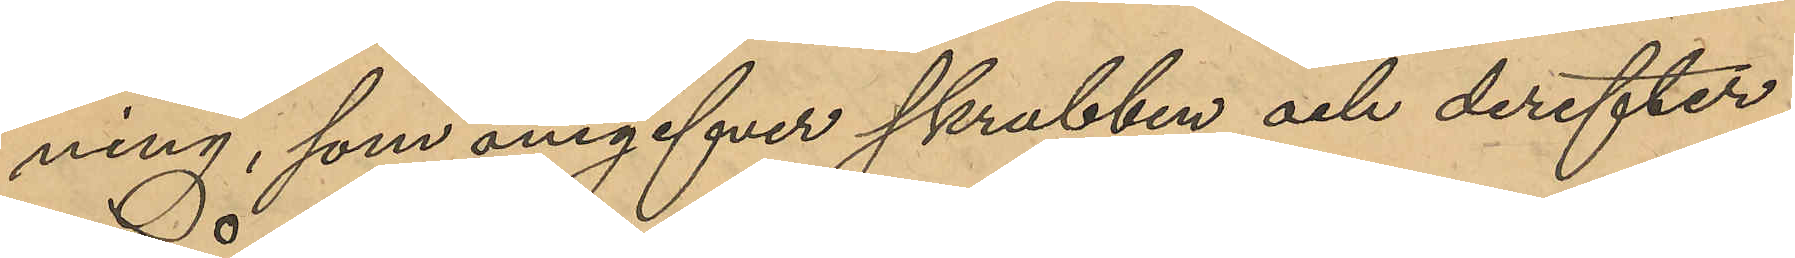ning, som angifver skrubben och derefter
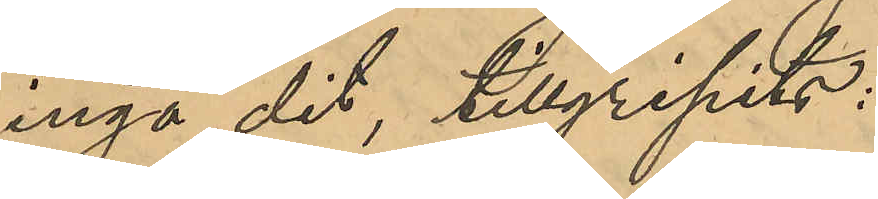ingå dit, tillgripits:
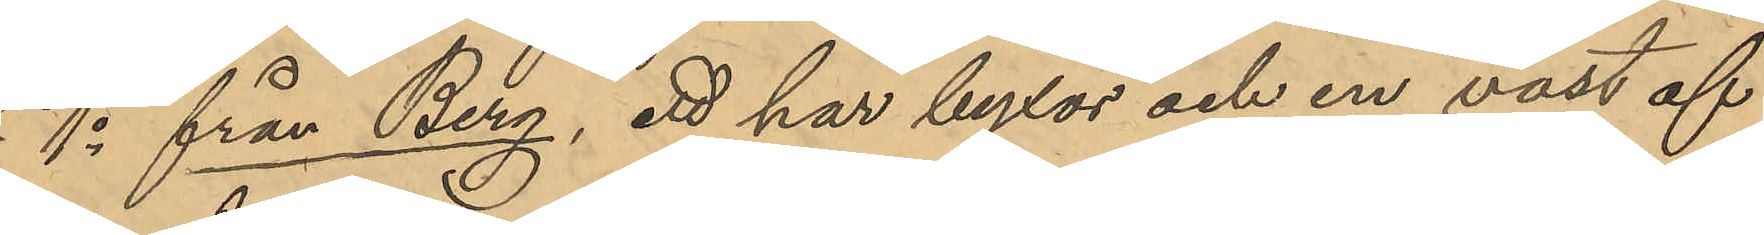1o från Berg, ett par byxor och en väst af
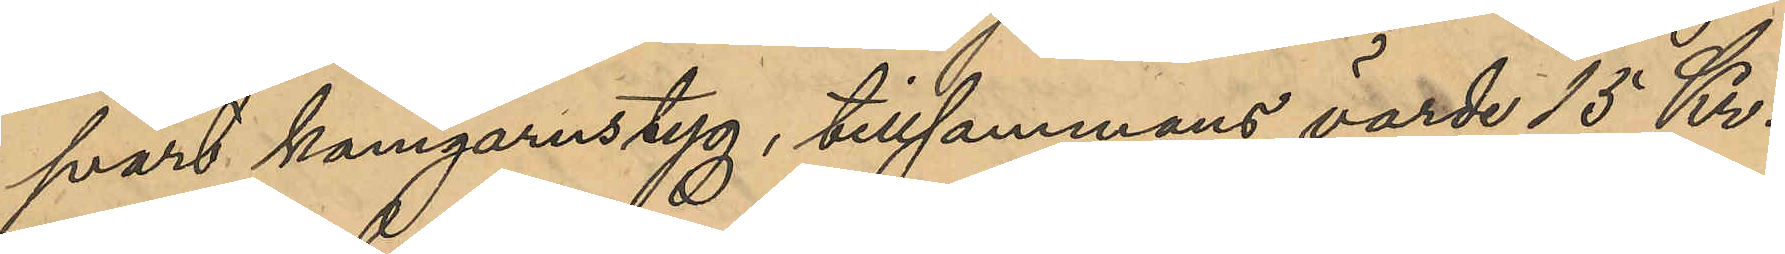svart kamgarnstyg, tillsammans värde 15 Kr.,
